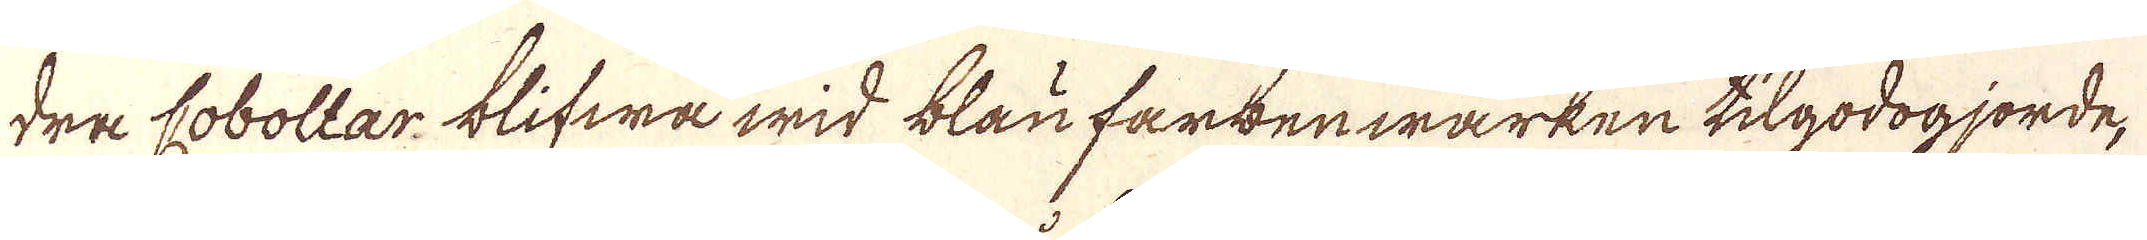dre Coboltar blifwa wid blau farbenwärken tilgodogjorde,
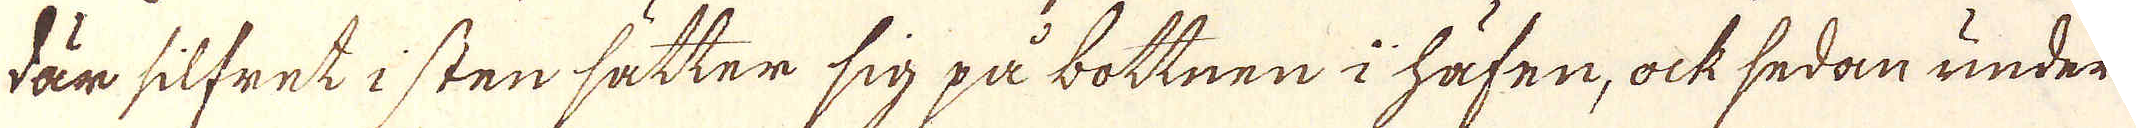där silfret i sten sätter sig på bottnen i häfen, ock sedan under
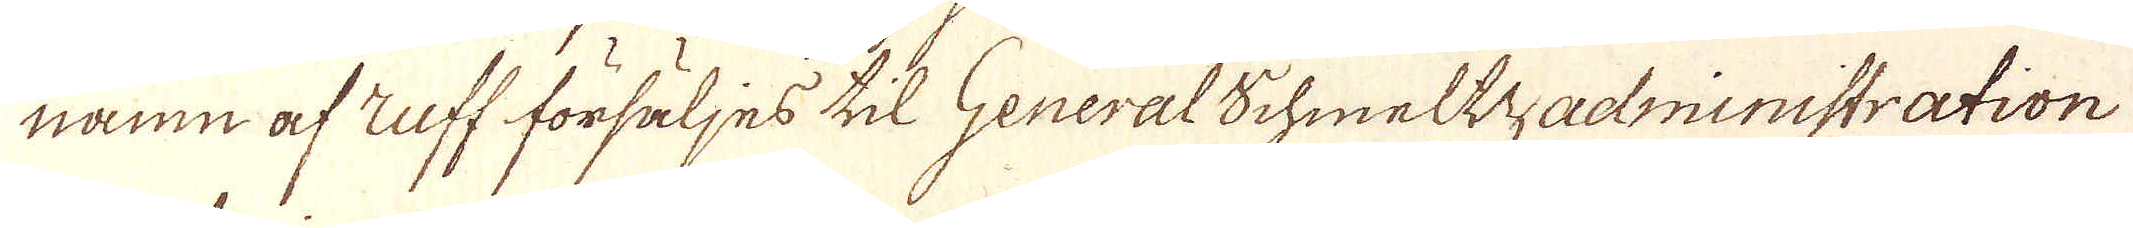namn af zuff försäljes til General Schmeltzadministration
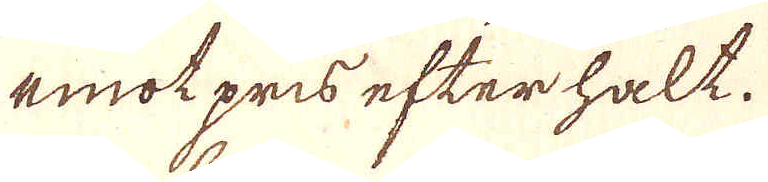emot pris efterhålt.
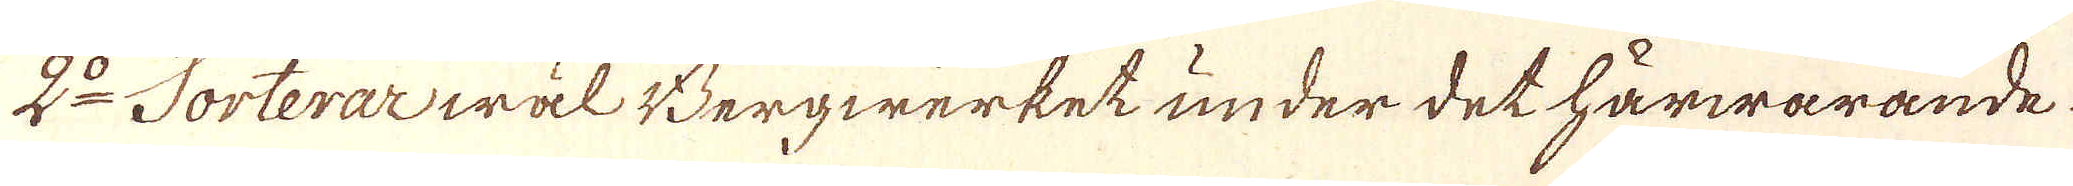2:o Sorterar wäl Bergwärket under det härwarande.
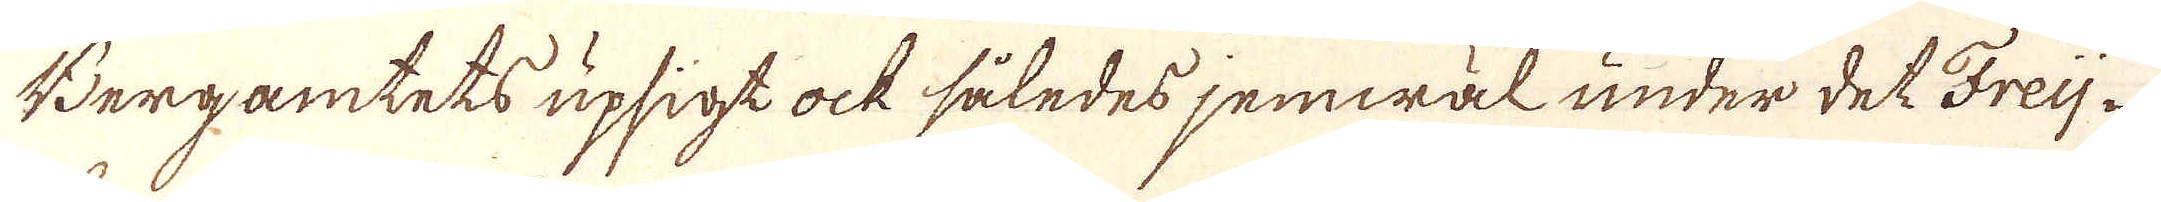Bergamtets upsigt ock således jemwäl under det Freij-
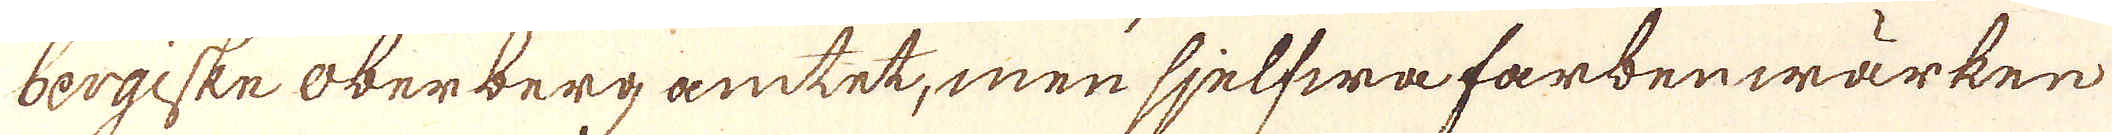bergiske oberberg amtet, men sjelfwa farberwärken
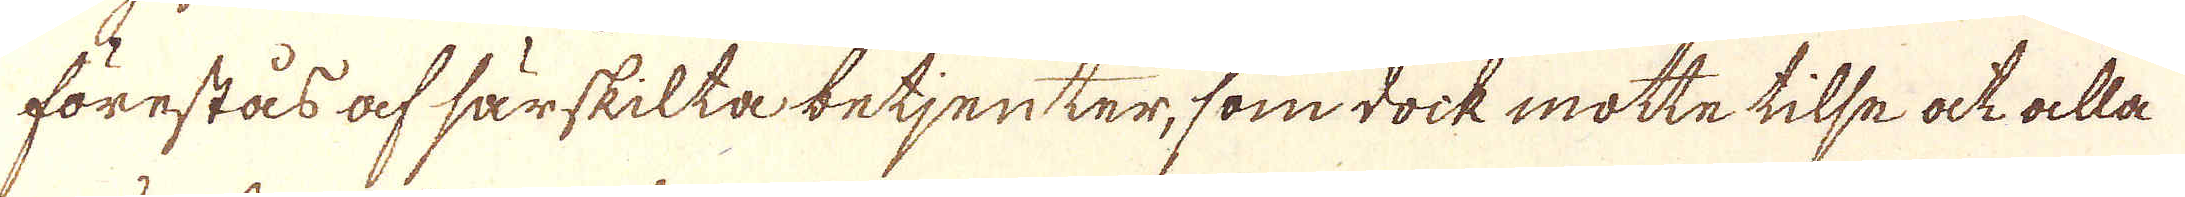förestås af särskilta betjenter, som dock motte tilse ock alla
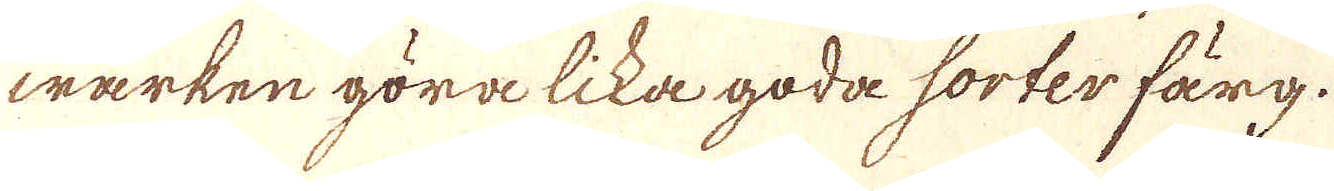wärken göra lika goda sorter färg.
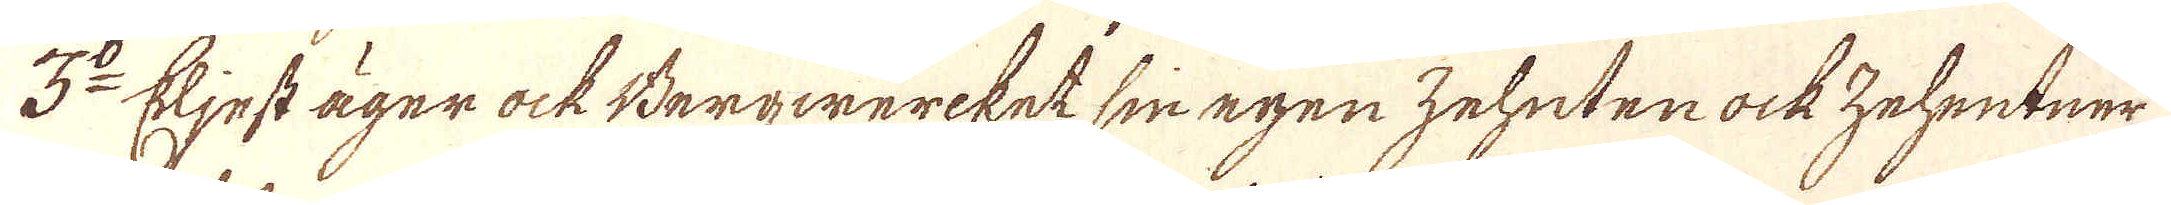3:o Eljest äger ock Bergwercket sin egen zeheten ock zehentner
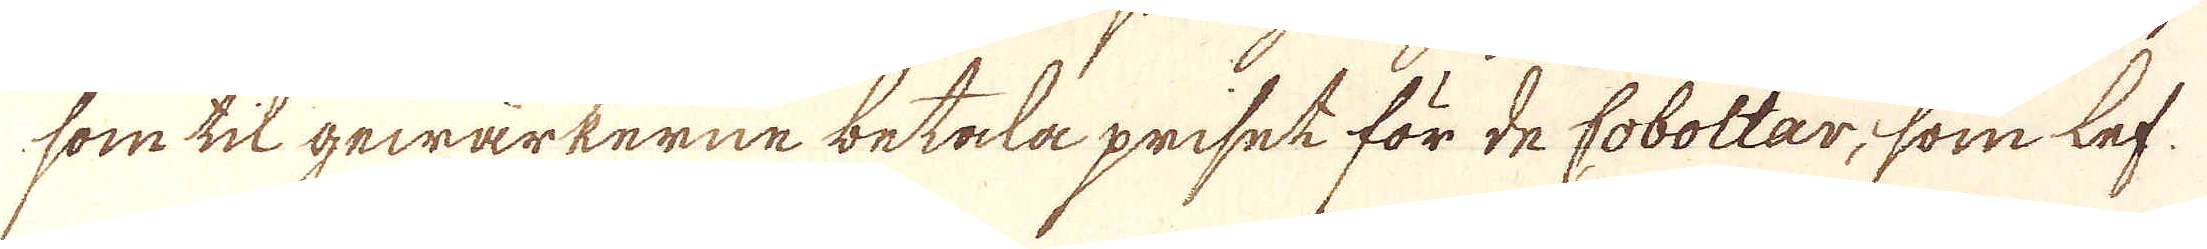som til gewärkerne betala priset för de coboltar, som lef-
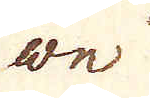we
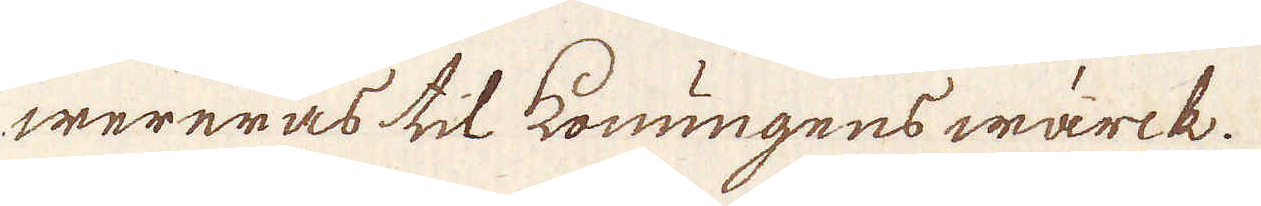wereras till konungens wärck.
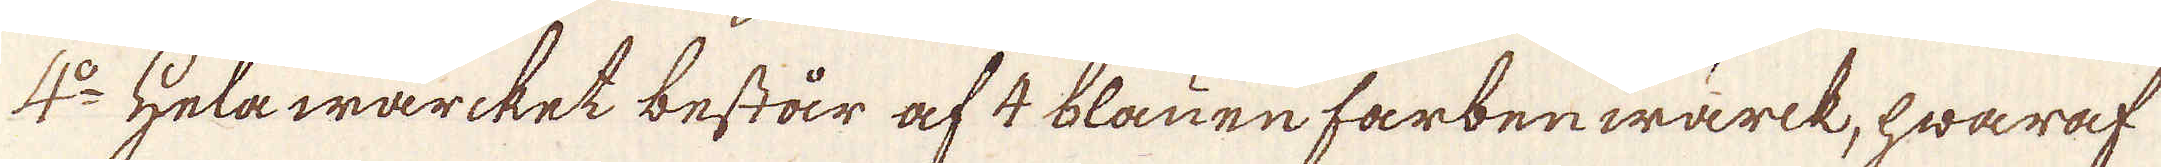4:o Hela wärket består af 4 blauen farberwärk, hwaraf
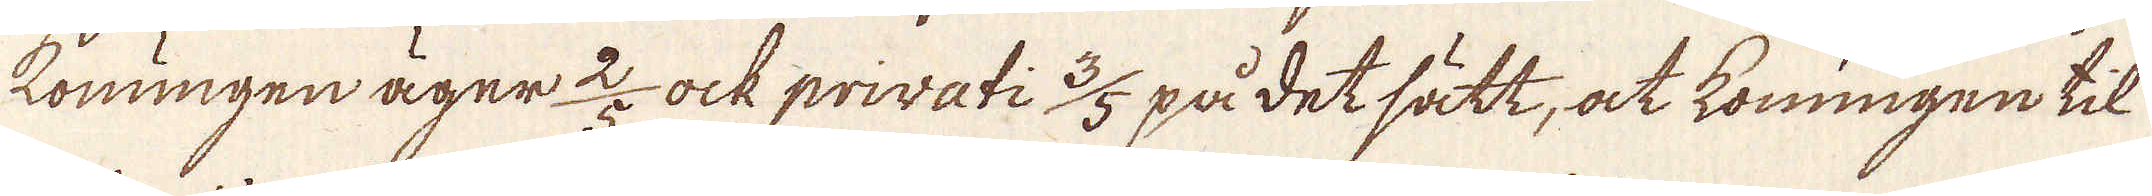Konungen äger 2/5 ock privati 3/5 på det sätt, at konungen til
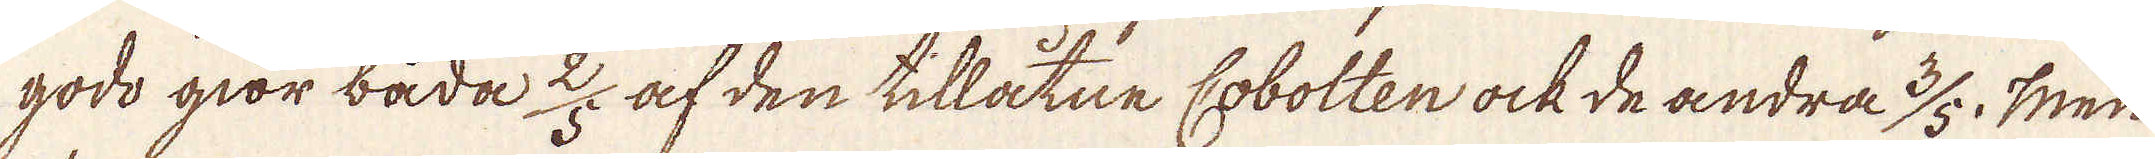godo giör båda 2/5 af den tillåtne Cobolten ock de andra 3/5. Men
